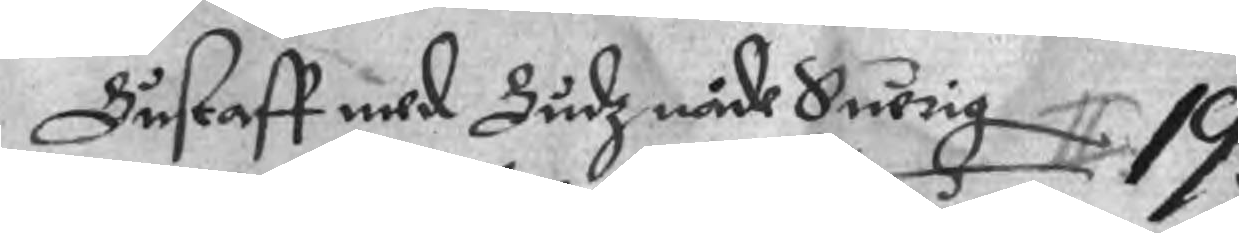Gustaff med Gudz nåde Suerig 19.
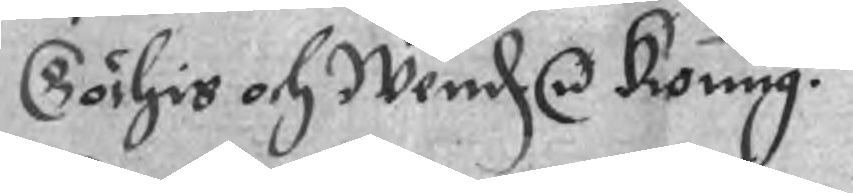Göthis och Wend r Konug.
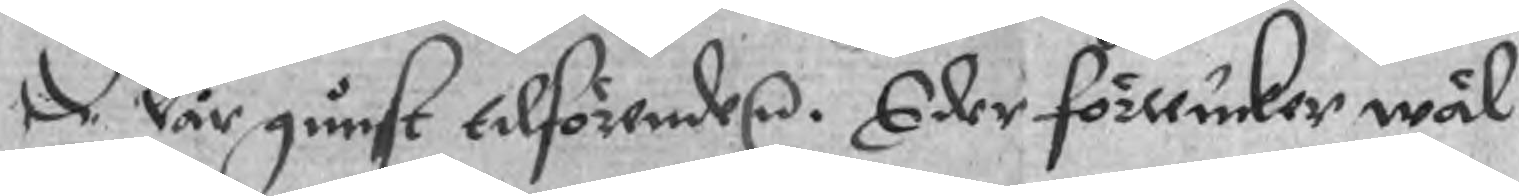De Vår gunst tilförende r. Eder förlucker wäl
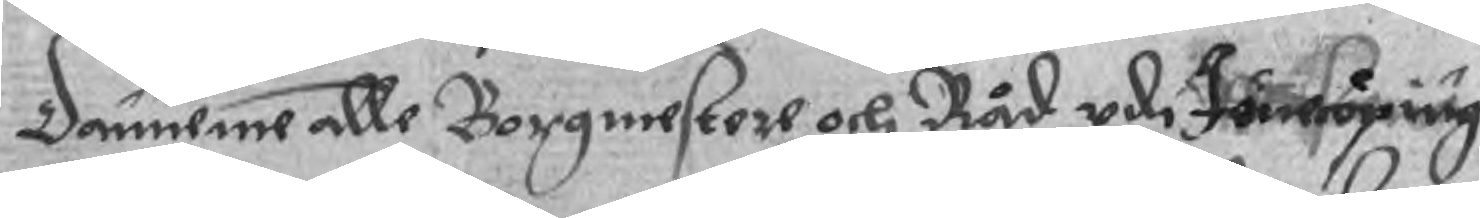Danneme alle Borgmestere och Råd udi Jöncöping
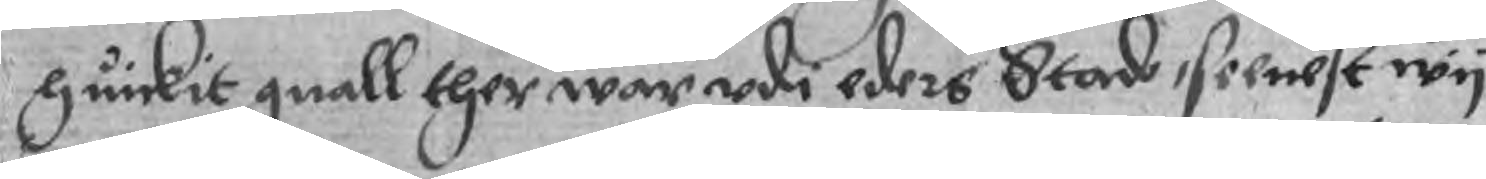huickit gnall ther war udi eders Stad, seenest wy
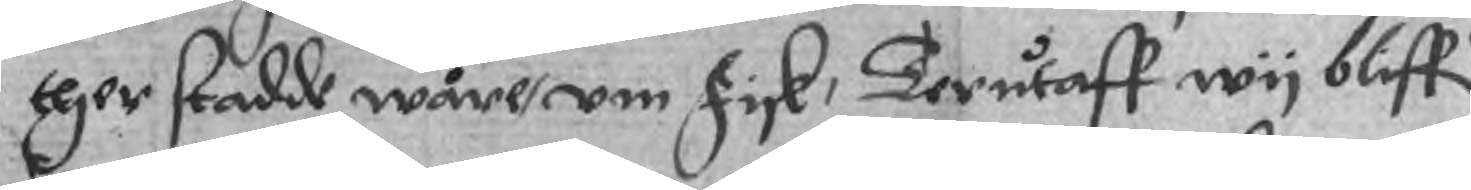ther stadde wåre, um fisk, Terutaff wy bliffr
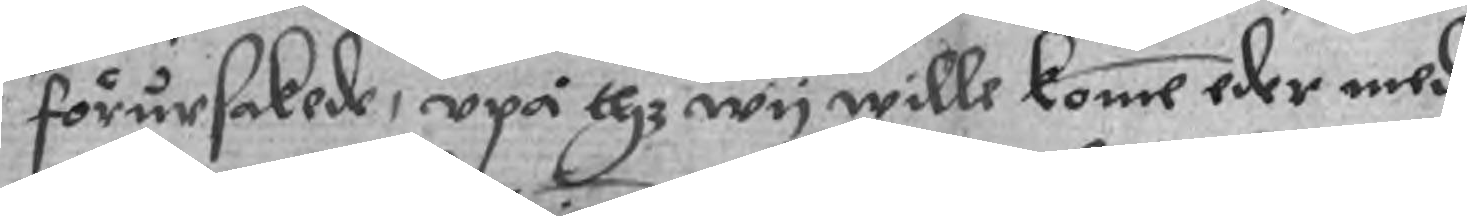förursakade, upå thz wy wille komme eder med
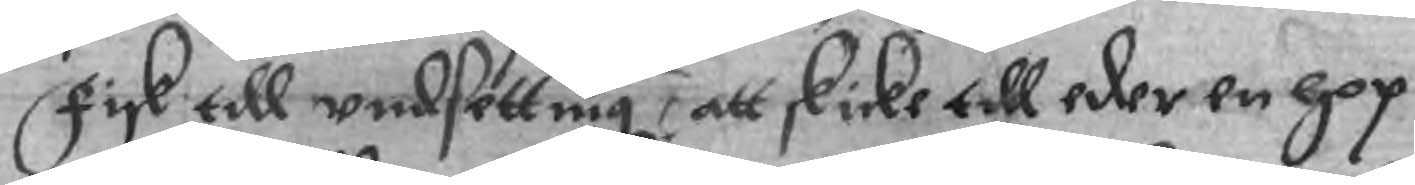fisk till undsettnig, att skicke till eder en hpp
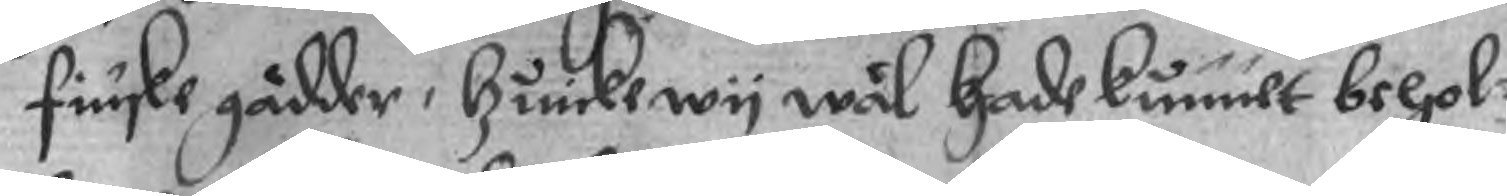finske gädder, huilke wy wäl hade kunnet belol¬
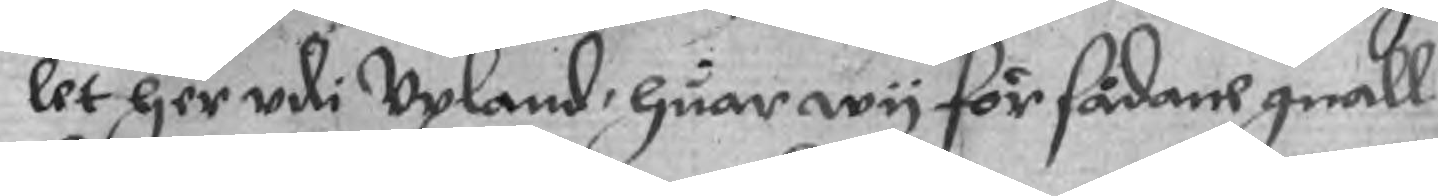let her udi Upland, huar wy för sådane gnall
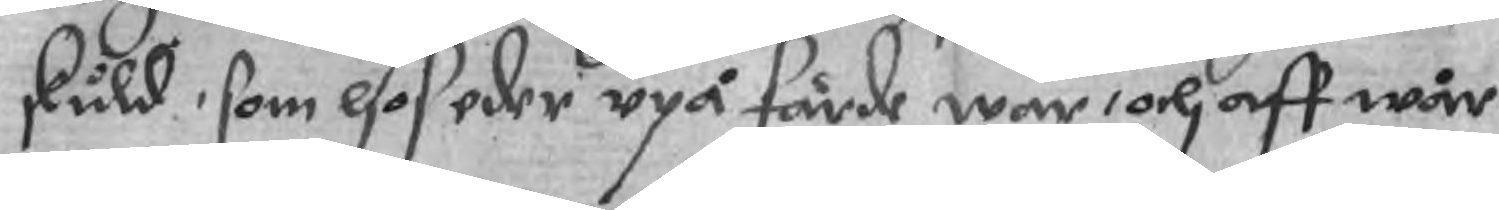skuld, som hos eder upå färde war, och aff wär
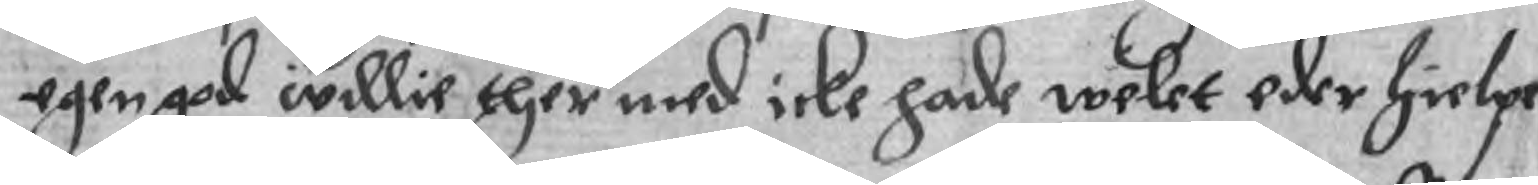egen god willie ther med icke hade welet eder hielpe
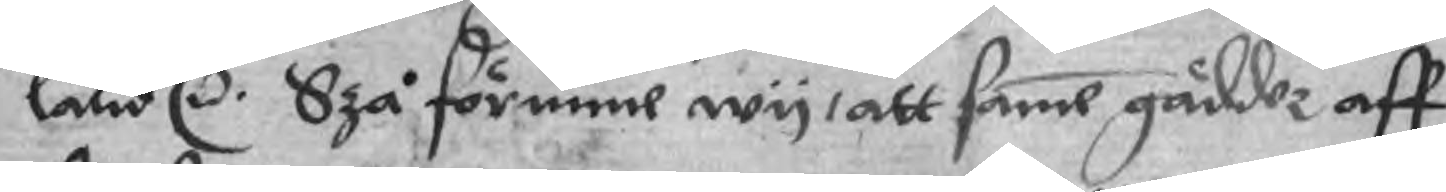land r. Szå förnime wy, att same gäddor aff
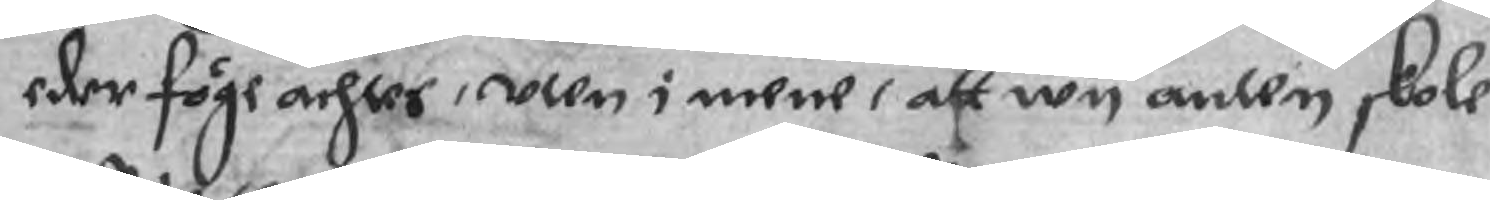eder föge achtes, uten i mene, att wy anten skole
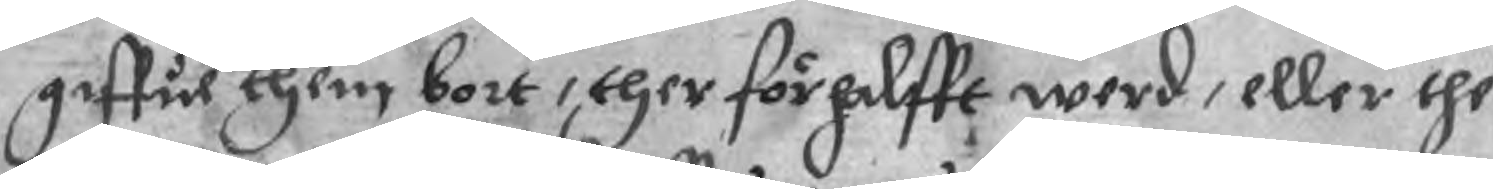giffue them bort, ther för halfft werd, eller the
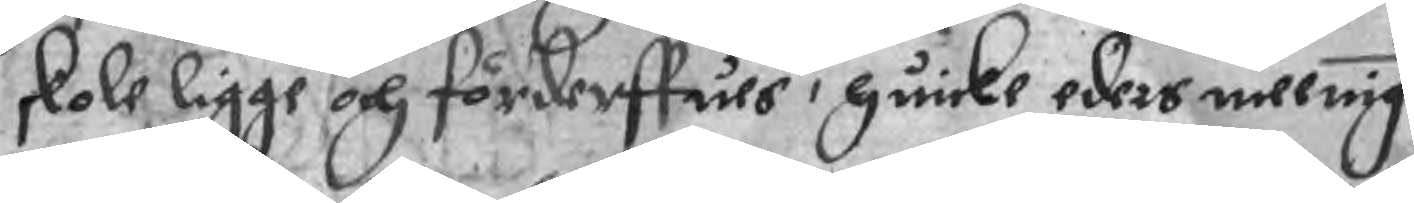skole ligge och förderffues, huilke eders meenig
